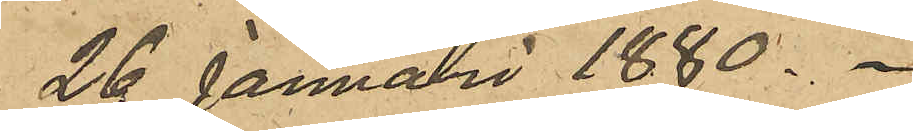26 Januari 1880.
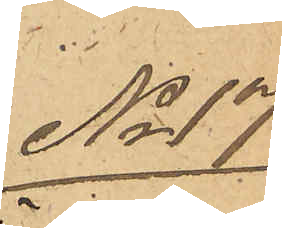No 17
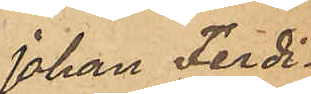Johan Ferdi¬
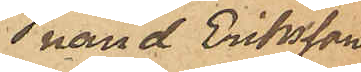nand Eriksson
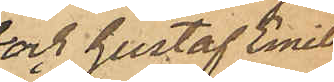och Gustaf Emil
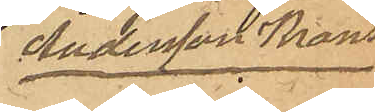Andersson Krans
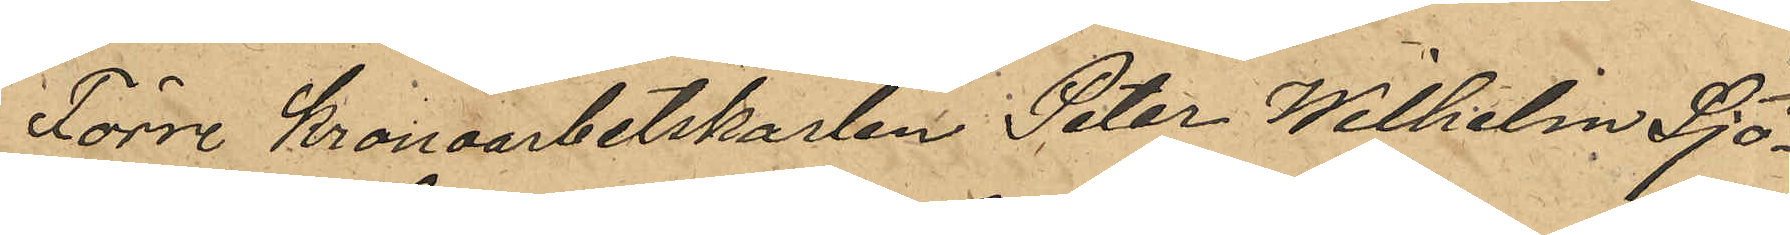Förre Kronoarbetskarlen Peter Wilhelm Sjö¬
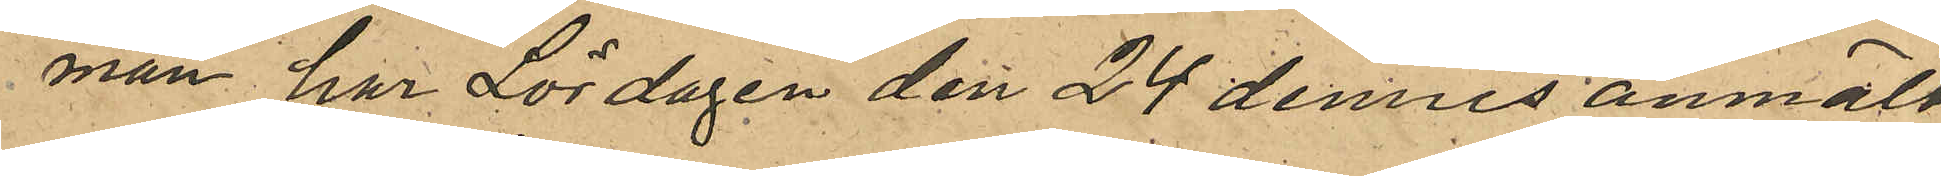man har Lördagen den 24 dennes anmält
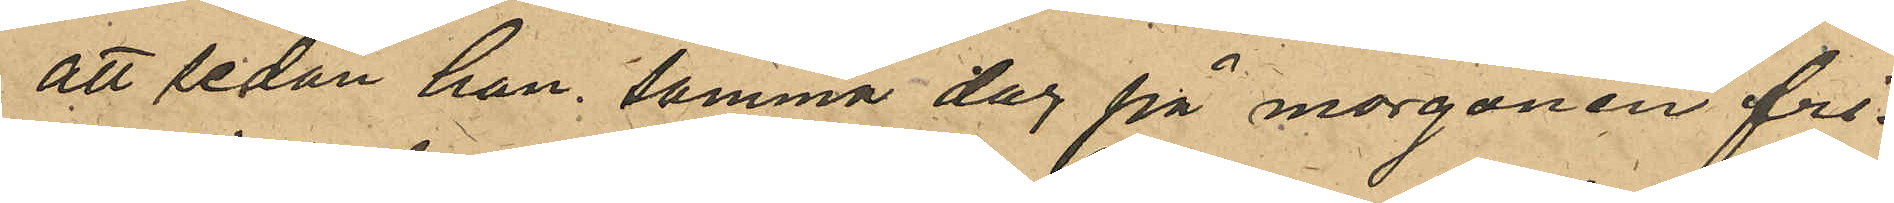att sedan han samma dag på morgonen fri¬
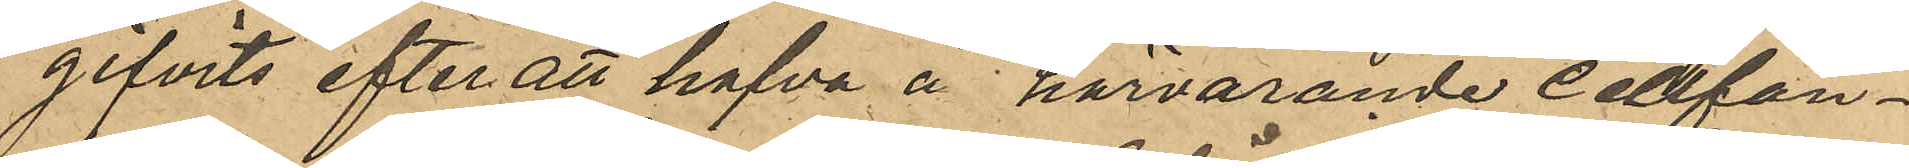gifvits efter att hafva å härvarande cellfän¬
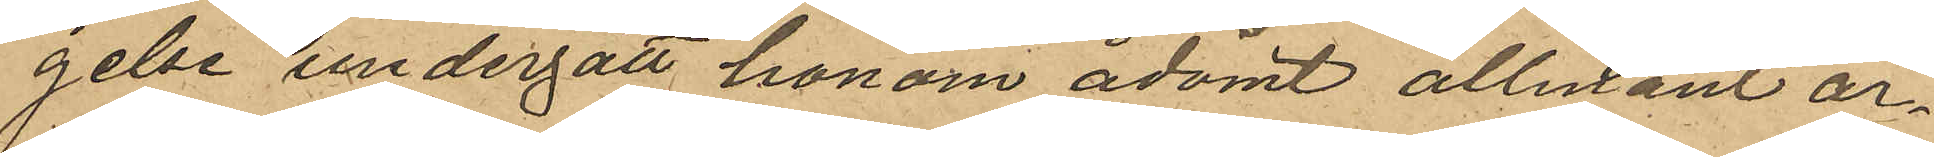gelse undergått honom ådömt allmänt ar¬
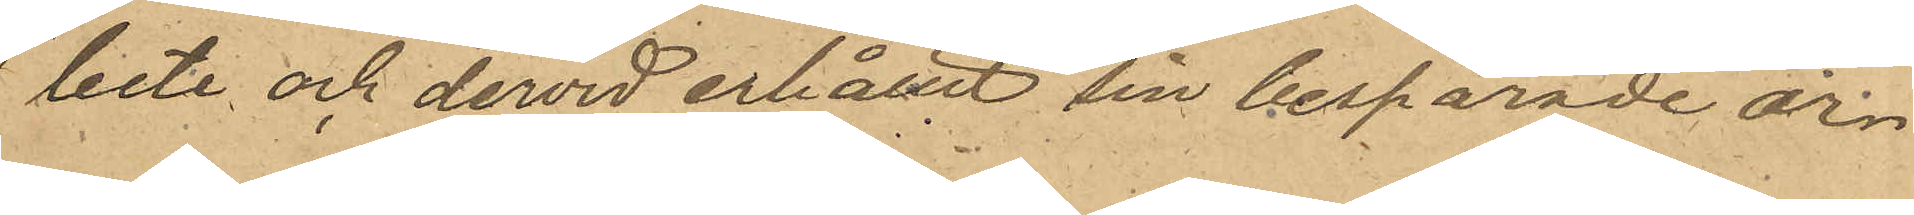bete och dervid erhållit sin besparade ar¬ 
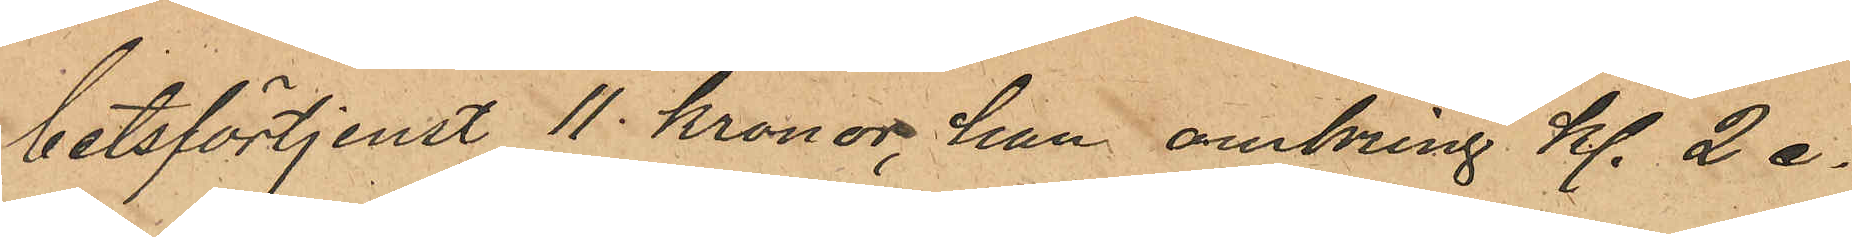betsförtjenst 11 Kronor, han omkring kl. 2 e.
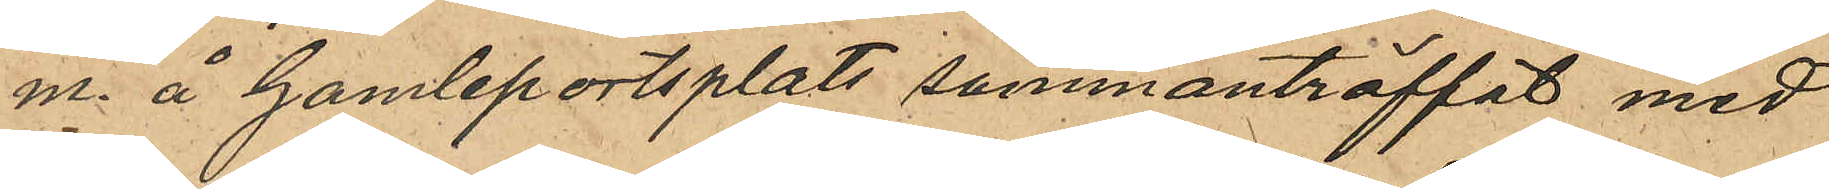m. å Gamleportplats sammanträffat med
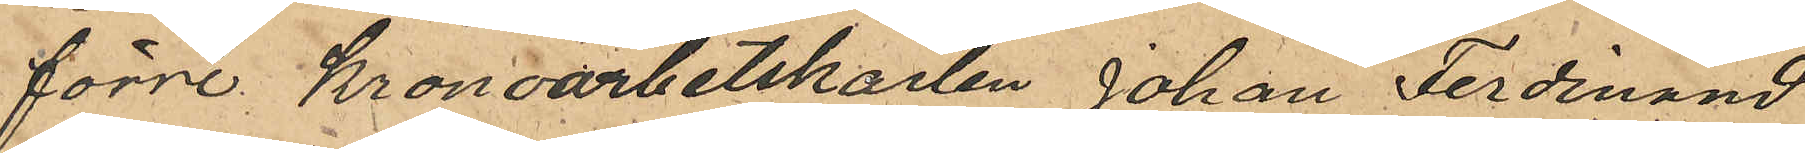förre Kronoarbetskarlen Johan Ferdinand
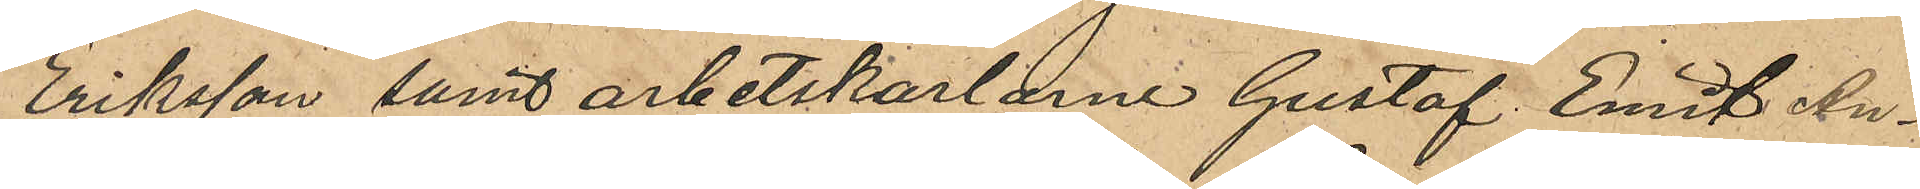Eriksson samt arbetskarlarne Gustaf Emil An¬
